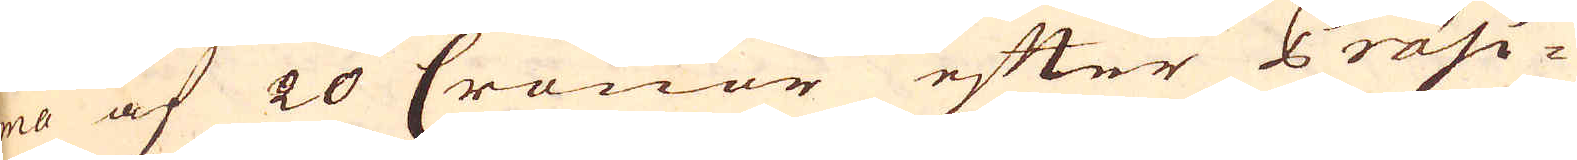ma af 20 Cronor efter Präsi-
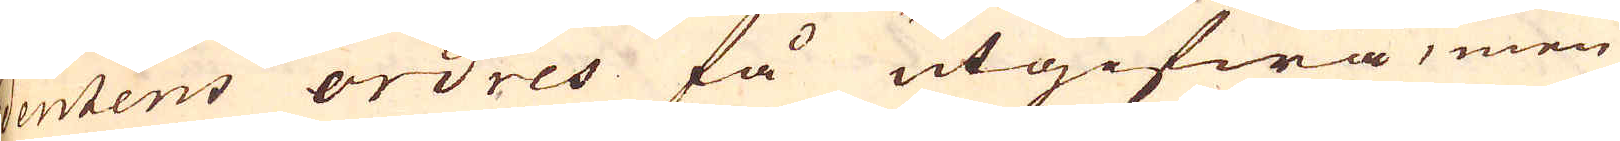dentens ordres få utgifwa, men
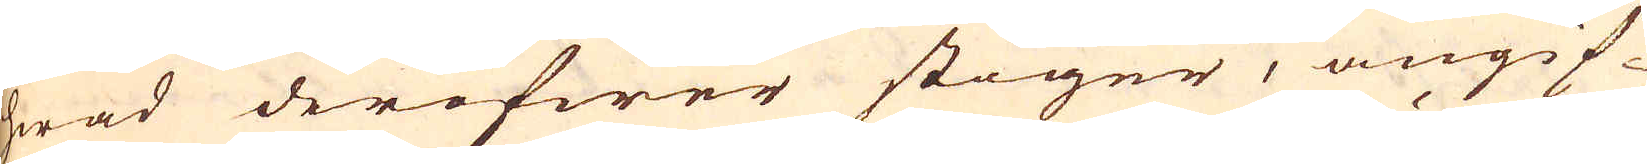hwad deröfwer stiger, angif-
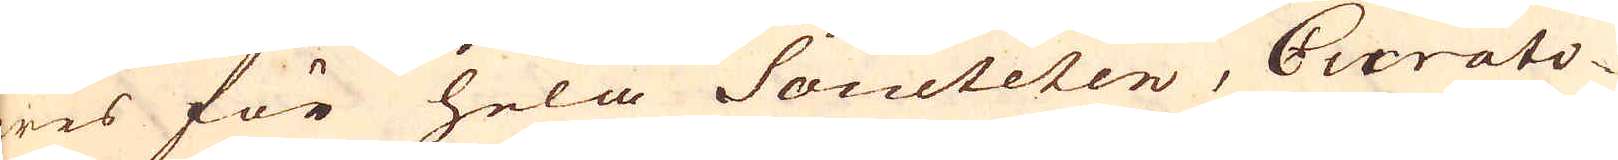wes för hela Societeten, Curato-
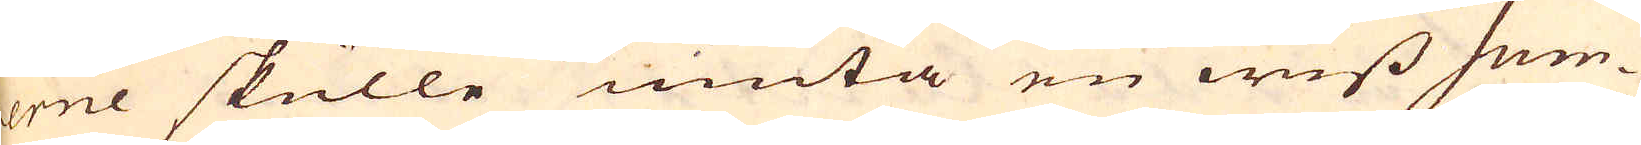rerne skulle niuta en wiss Sum-
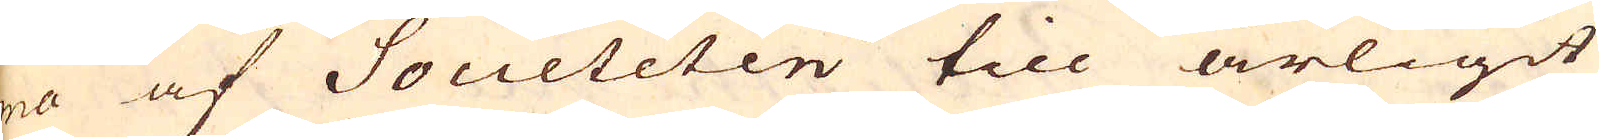ma af Societeten till årligit
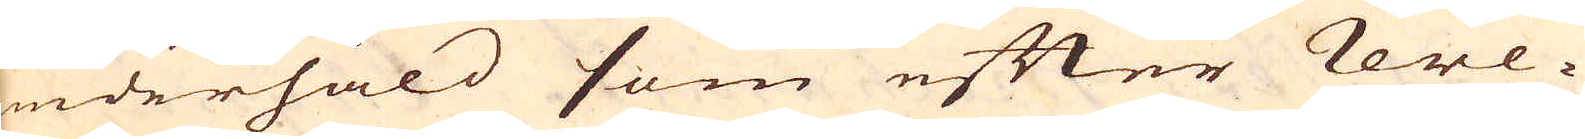underhåld som efter reve-
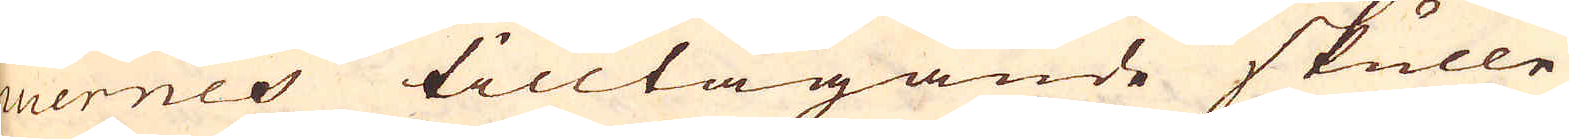nuernes tilltagande skulle
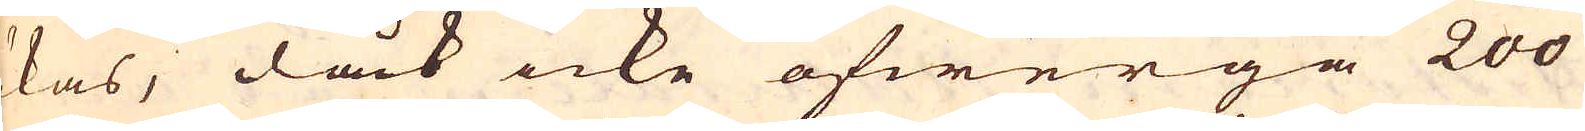ökas, dock icke öfwergå 200
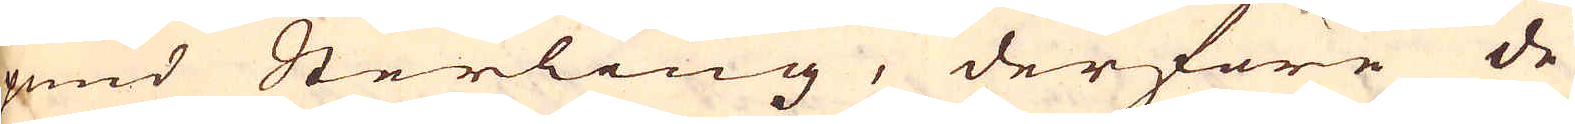pund Sterling, derföre de
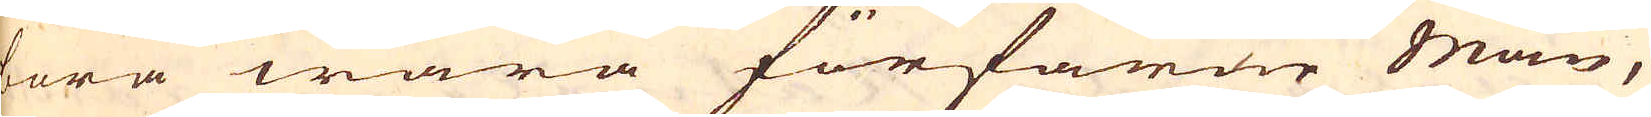böra wara förfarne män,
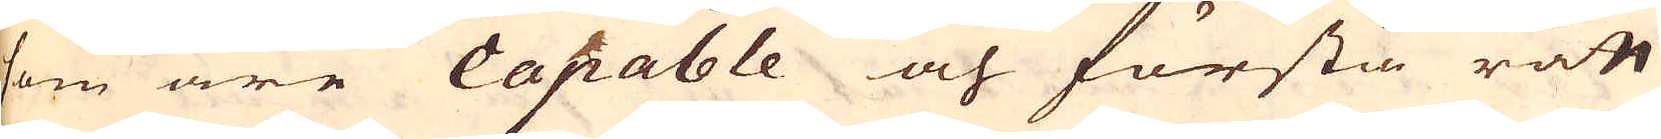som äre Capable och förstå rätt
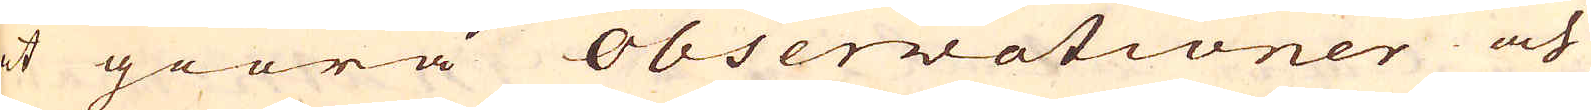at giöra observationer och
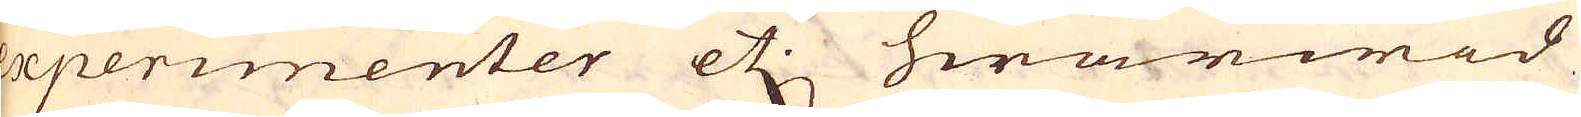experimenter etc. hwarwid
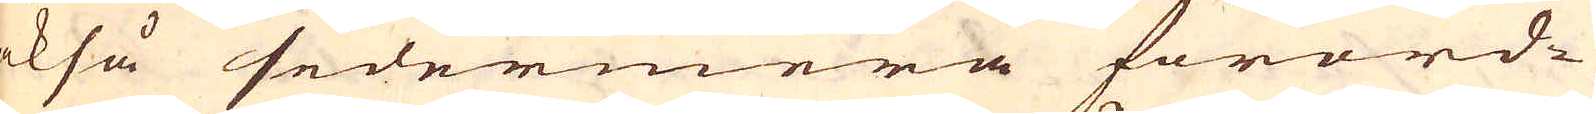också sedermera förord-
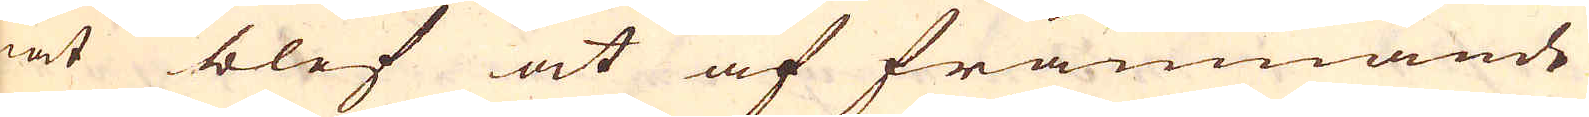nat blef at af främmande
